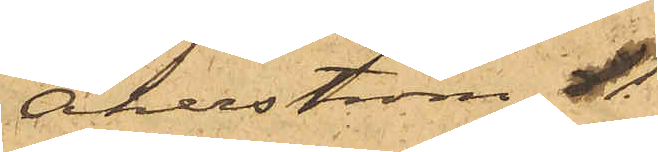Åkerström 
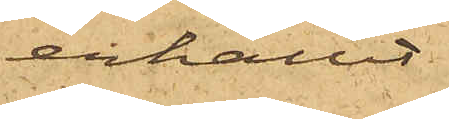erhållit
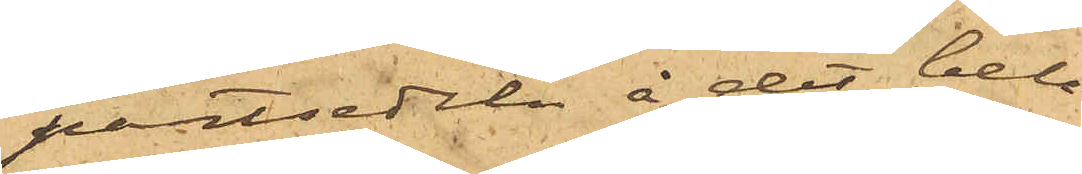pantsedeln å det belå¬
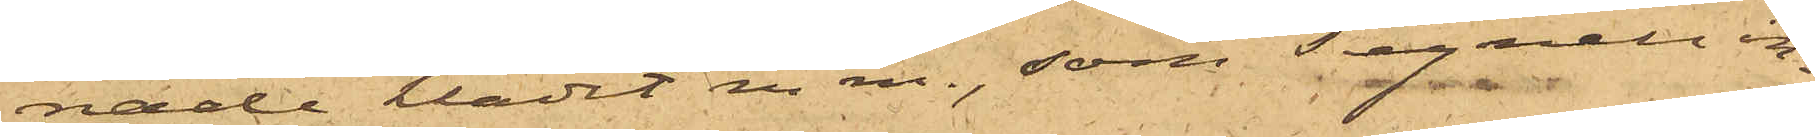nade klädet m.m., som Tegnell in¬
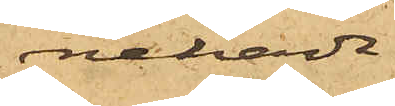nehavde.
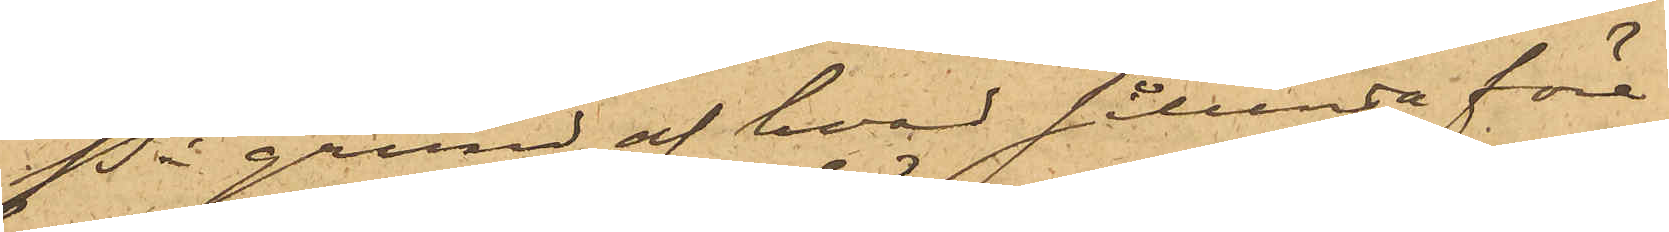På grund af hvad sålunda före¬
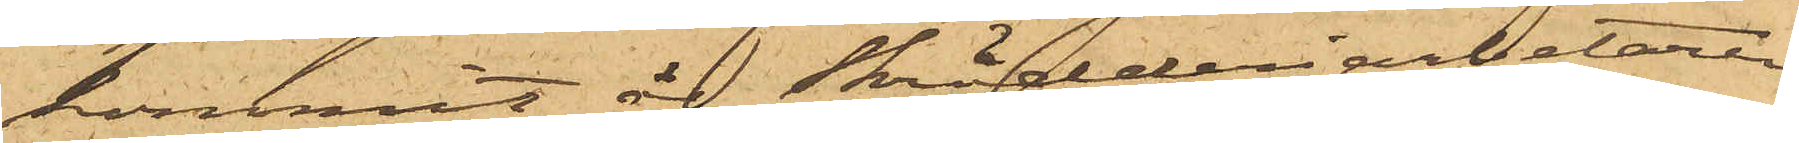kommit, är Skrädderiarbetaren
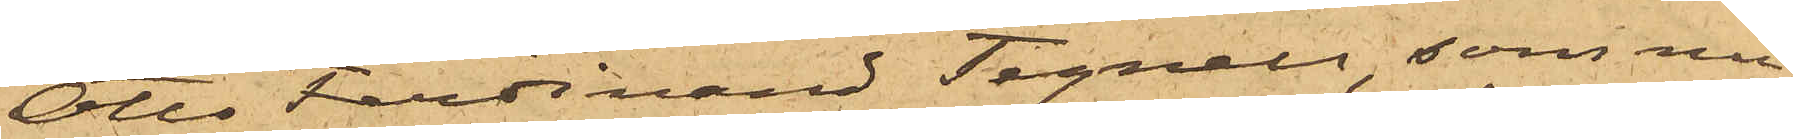Otto Ferdinand Tegnell, som nu¬
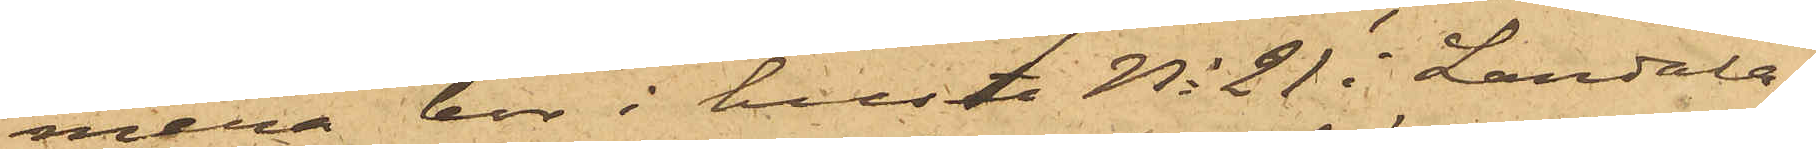mera bor i huset No 21 i Landala¬
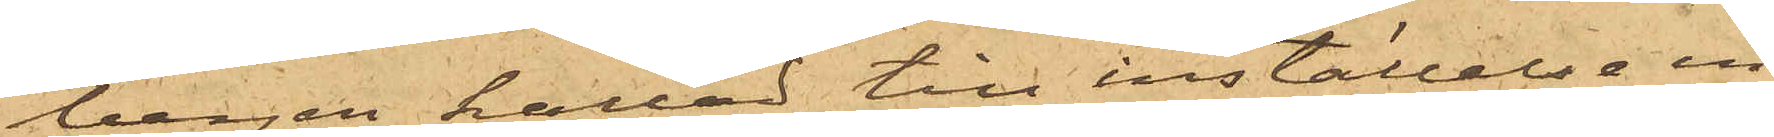bergen, kallad till inställelse in¬
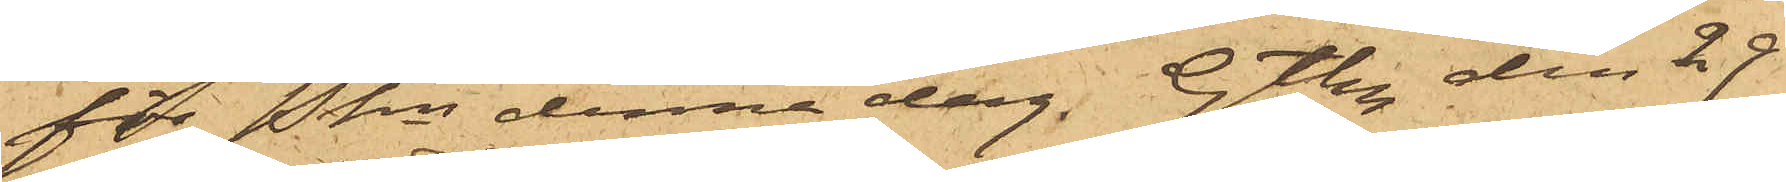för Pkn denna dag. Gtbg den 29
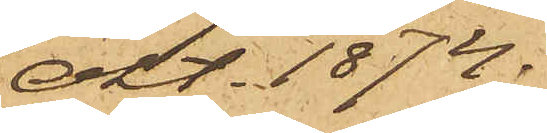Okt. 1874.
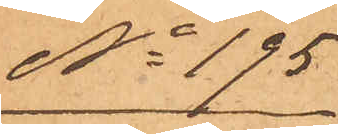No 195
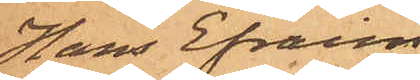Hans Efraim
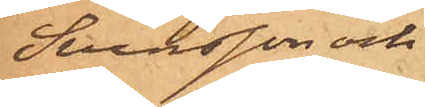Svensson och
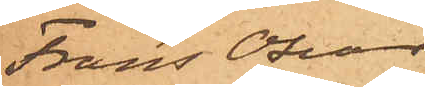Frans Oscar
